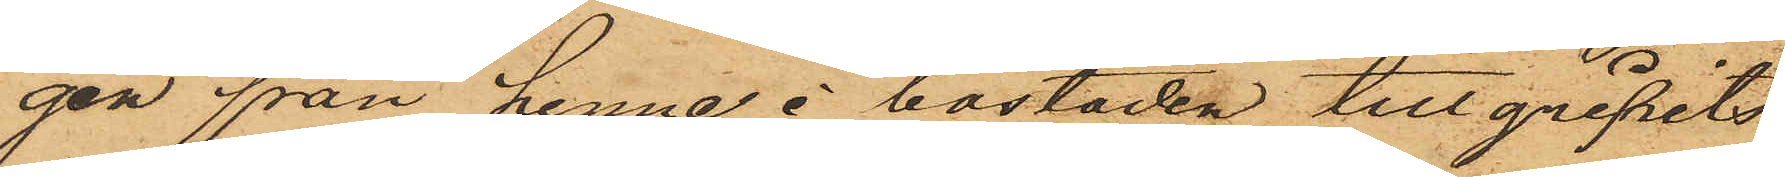gen från henne i bostaden tillgripits,
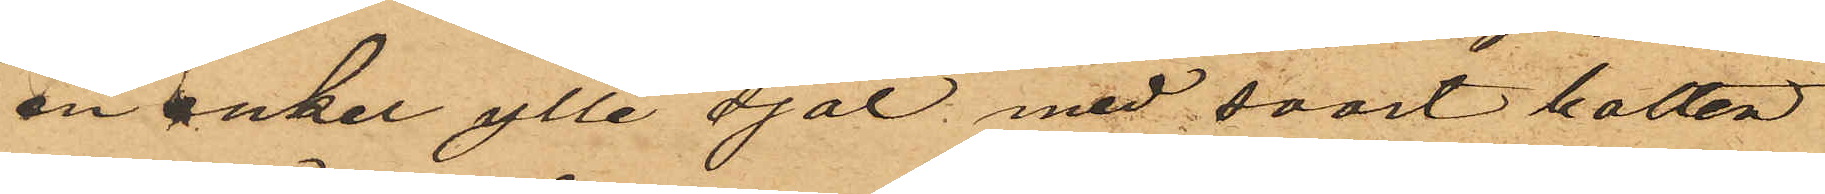en enkel yllesjal med svart botten
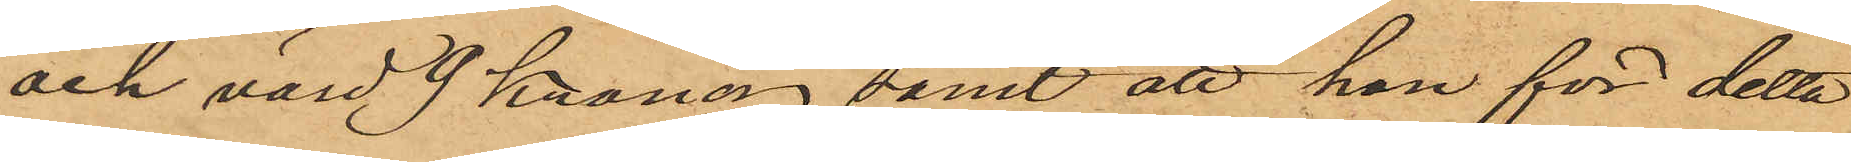och värd 9 Kronor samt att hon för detta
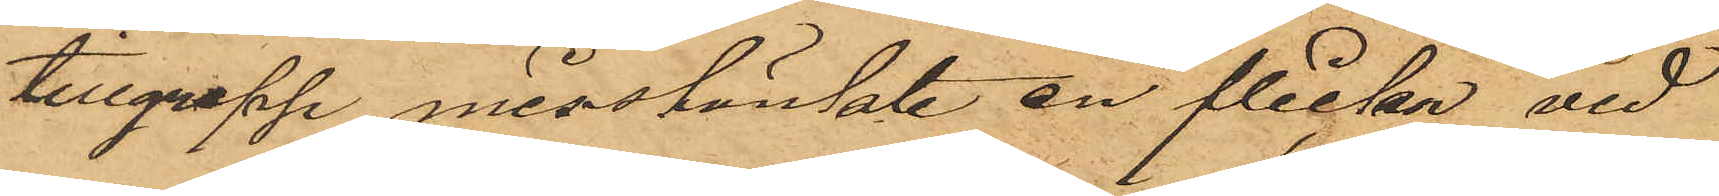tillgrepp misstänkte en flicka vid
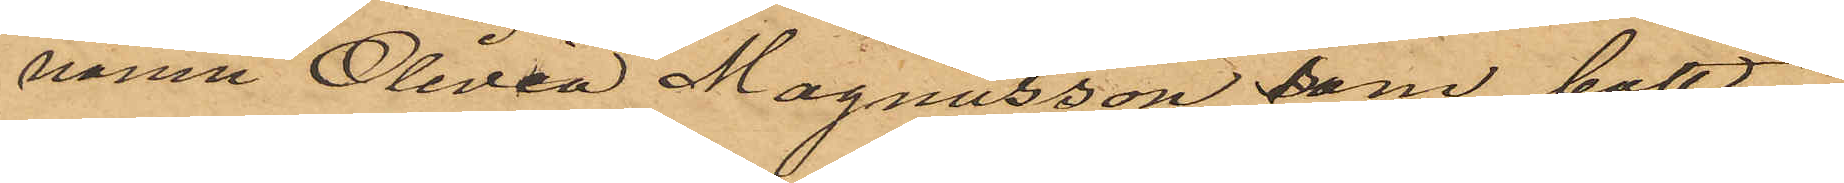namn Olivia Magnusson som bott
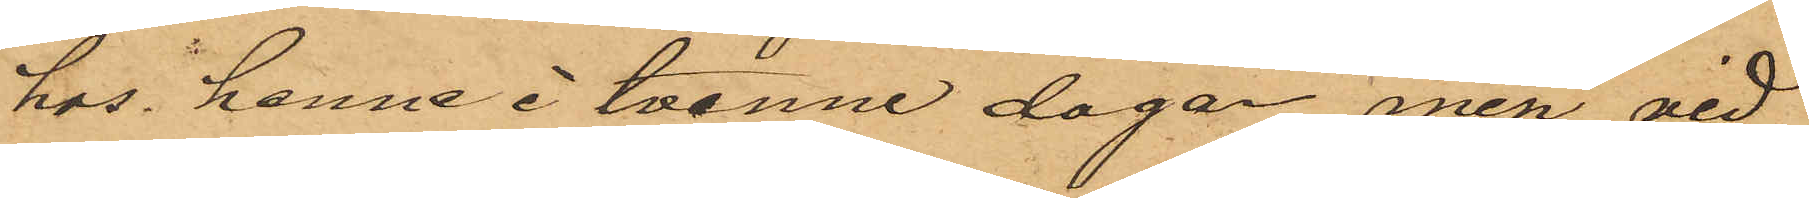hos henne i tvenne dagar men vid
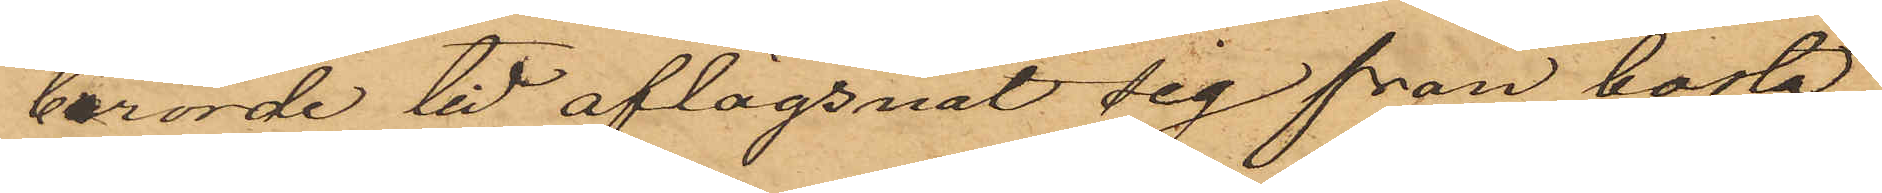berörde tid aflägsnat sig från bosta¬
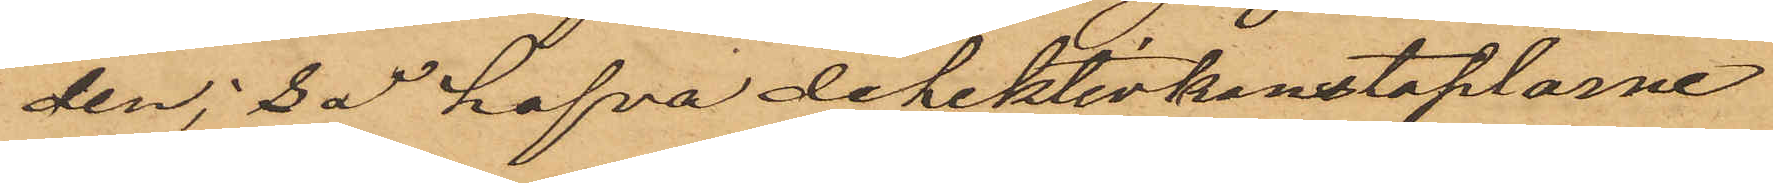den; så hafva detektivkonstaplarne
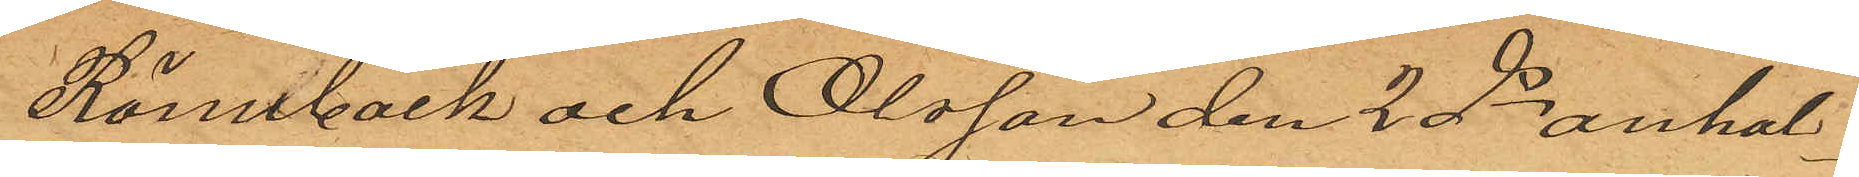Rönnbäck och Olsson den 2 ds anhål¬
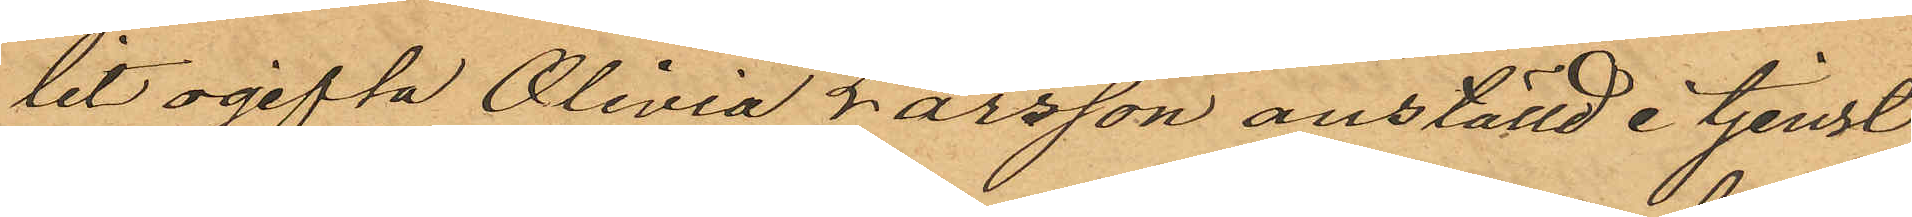lit ogifta Olivia Larsson anställd i tjenst
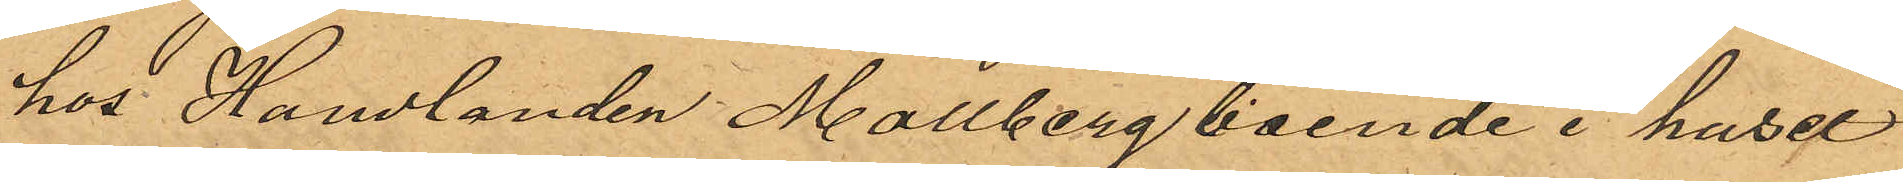hos Handlanden Mollberg boende i huset
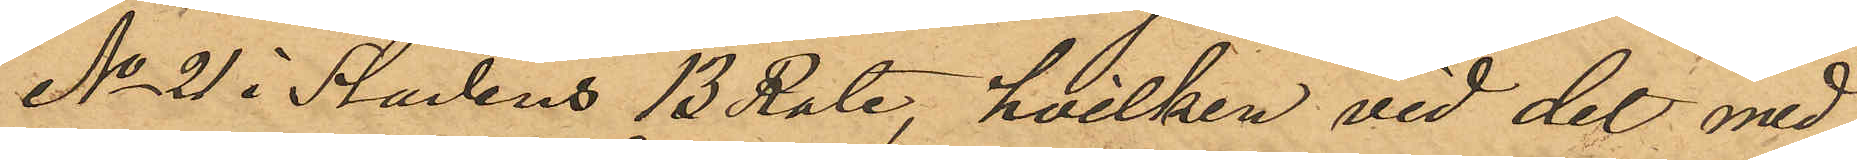No 21 i Stadens 13 Rote, hvilken vid det med
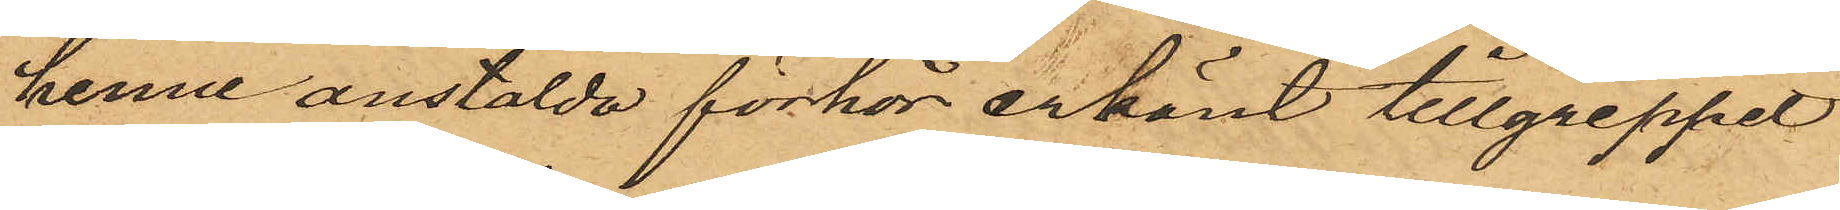henne anstälde förhör erkänt tillgreppet
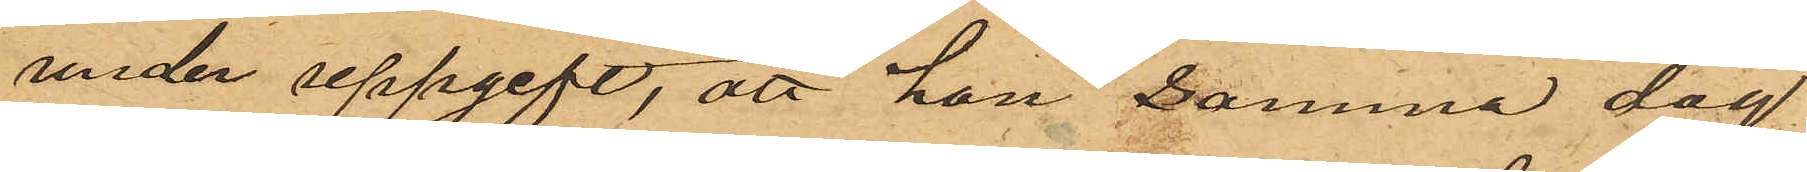under uppgift, att hon samma dag
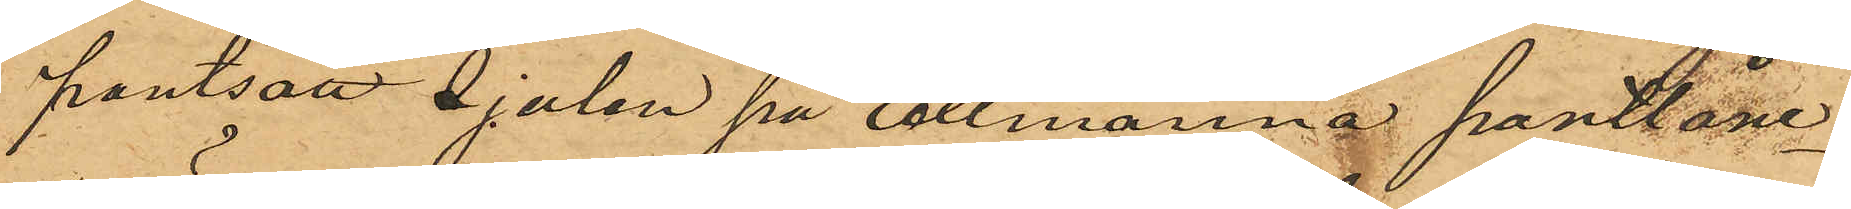pantsatt sjalen på allmänna pantlåne¬
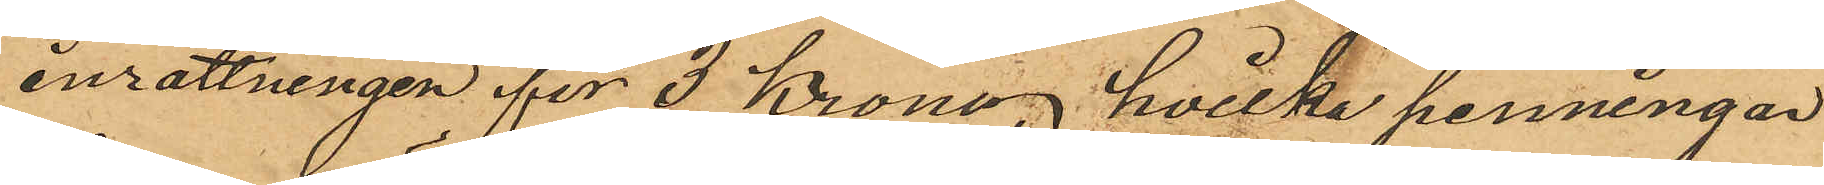inrättningen för 3 Kronor, hvilka penningar
